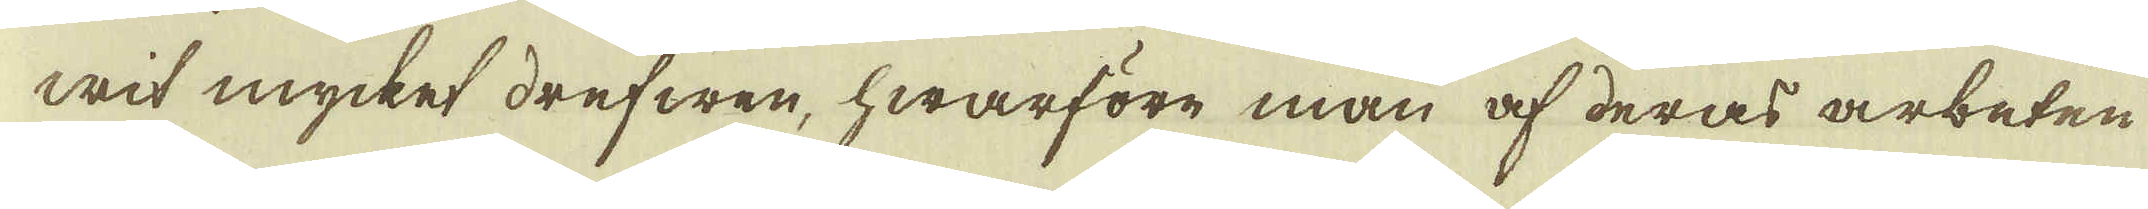wit mycket drefwen, hwarföre man af deras arbeten
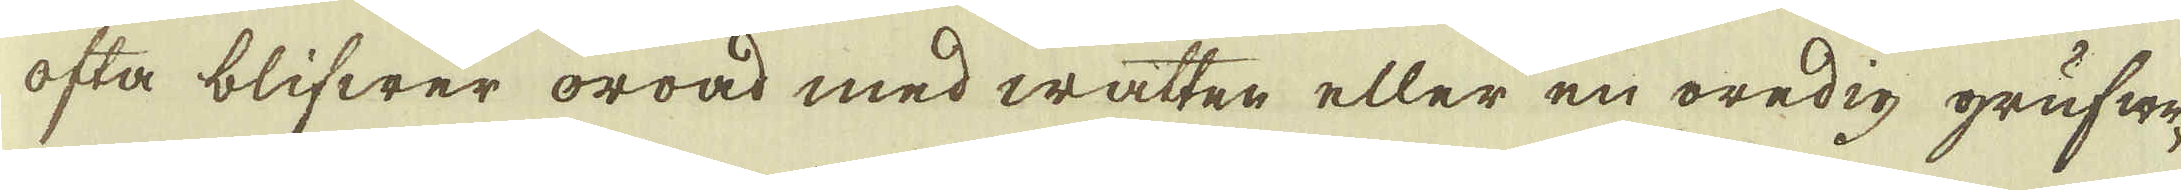ofta blifwer oroad med watten eller en oredig grufwe-
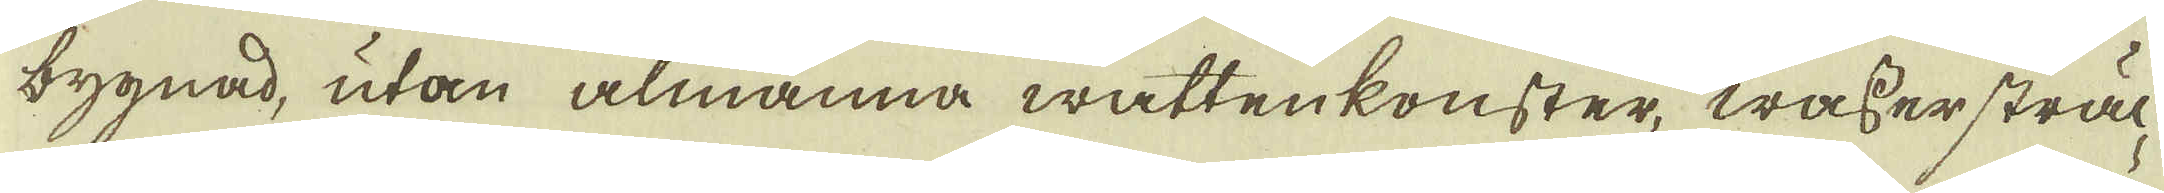bygnad, utan almänna wattenkonster, wassersträc-
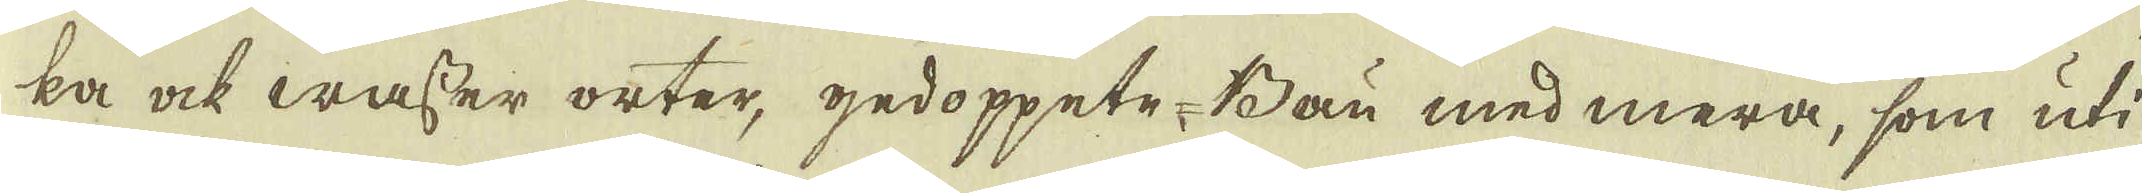ka ock wasser orter, gedoppete-Bau med mera, som uti
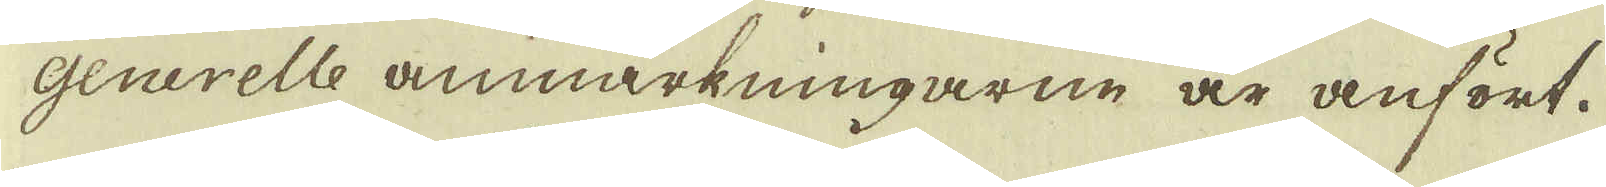Generelle anmärkningarne är anfört.
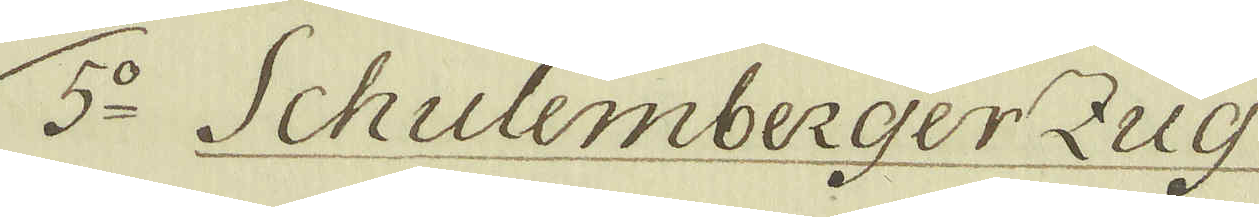5:o Schulemberger Zug
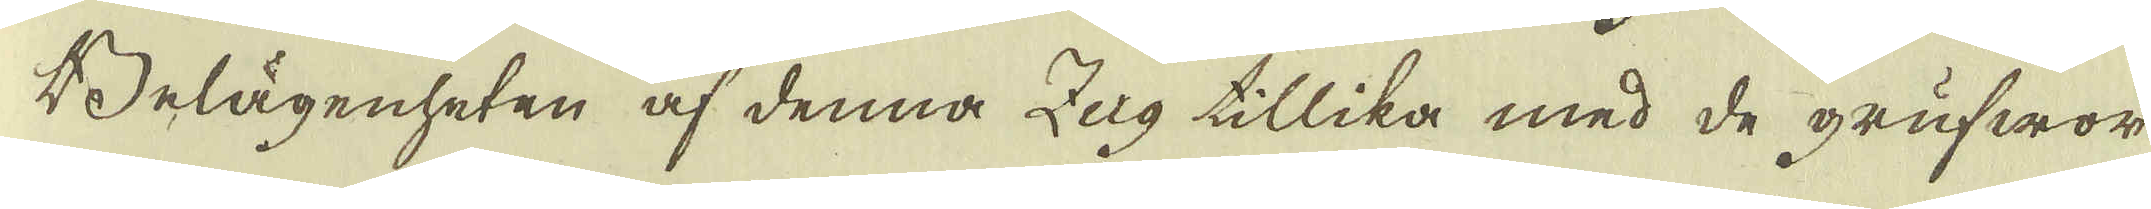Belägenheten af denna Zug tillika med de grufwor
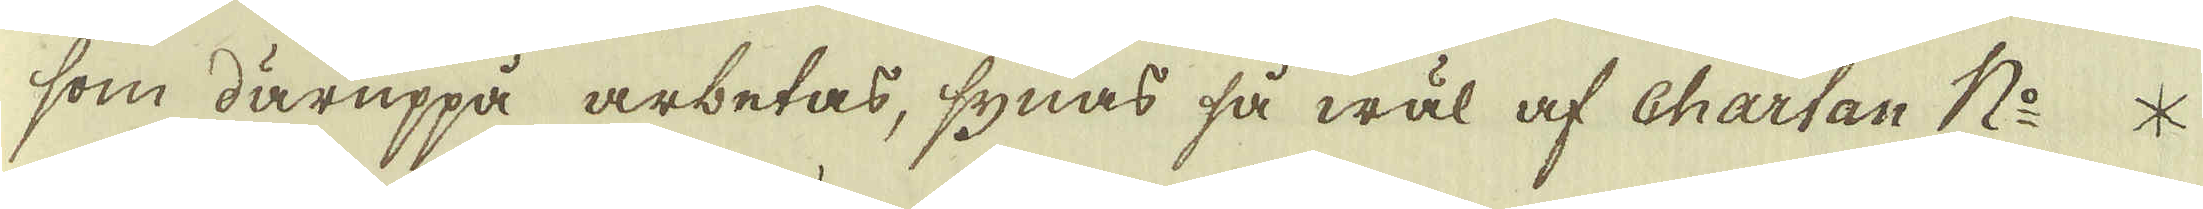som däruppå arbetas, synas så wäl af Chartan No *
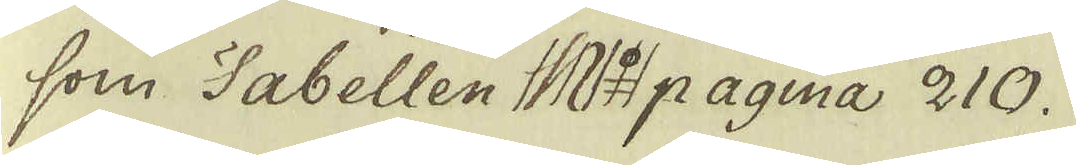som Tabellen No pagina 210.
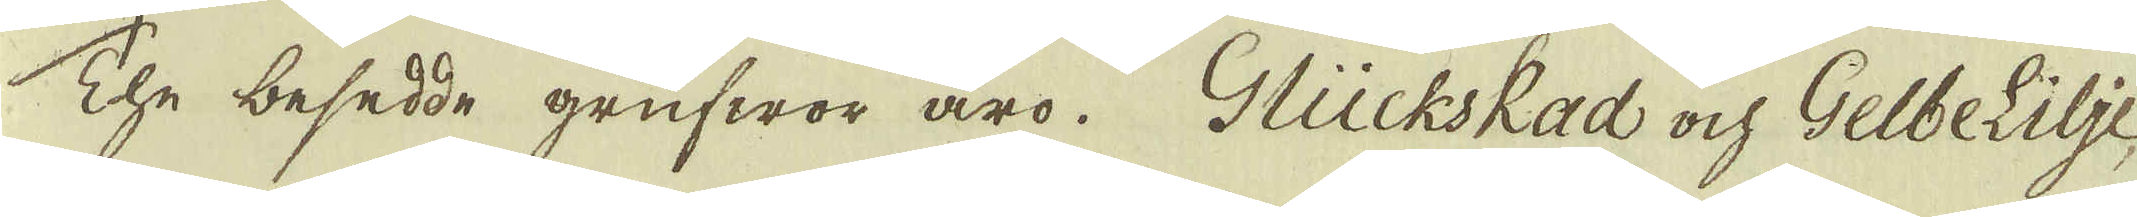The besedde grufwor äro. Glückskad och Gelbelilje
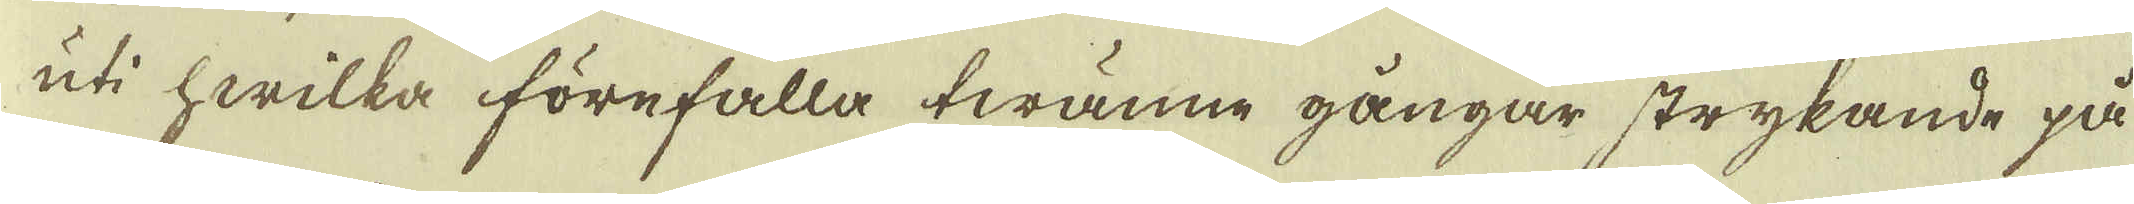uti hwilka förefalla twänne gångar strykande på
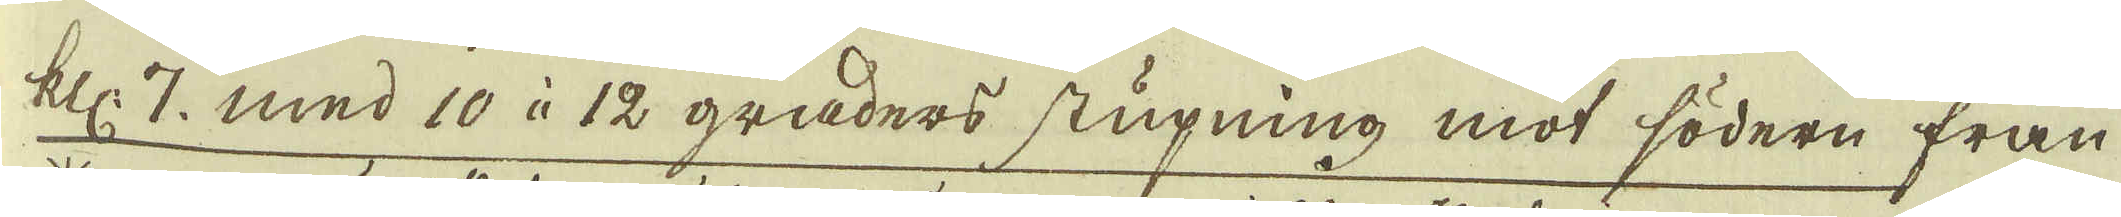klc: 7. med 10 à 12 graders stupning mot södern från
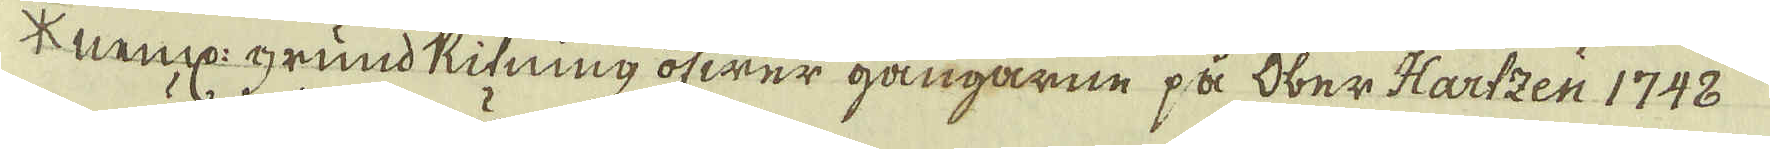* neml: grund Ritning öfwer gångarne på Ober Hartzen 1748
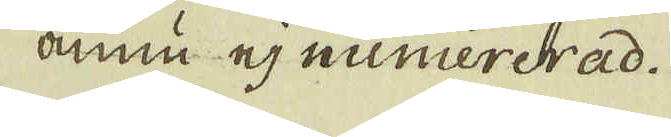ännu ej numrerad.
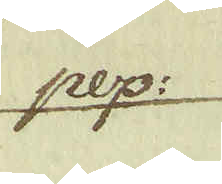pep:
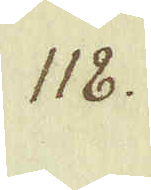118.
